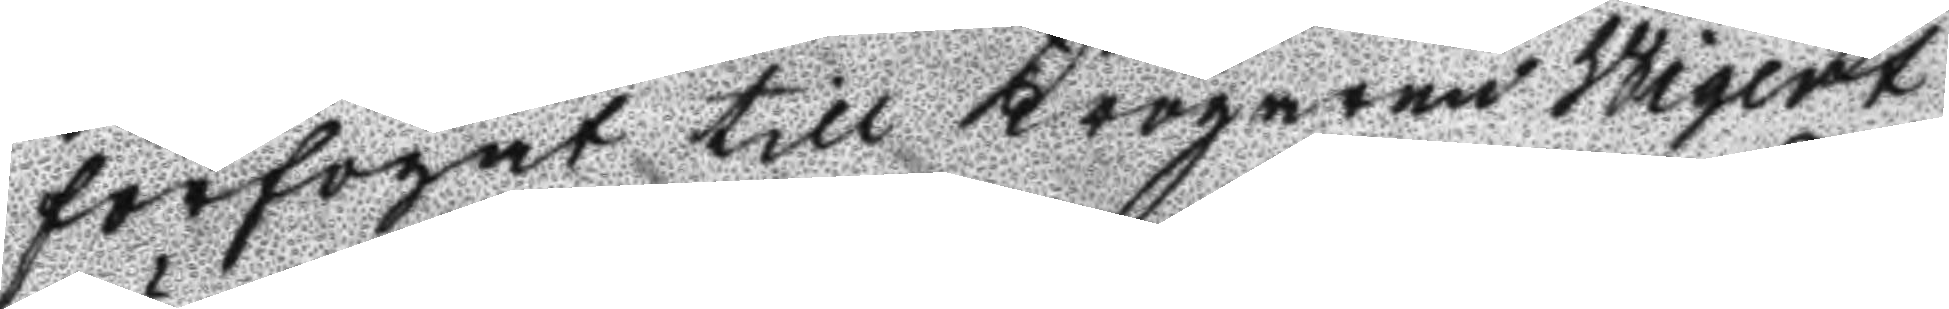förfogat till Krögaren Wigert
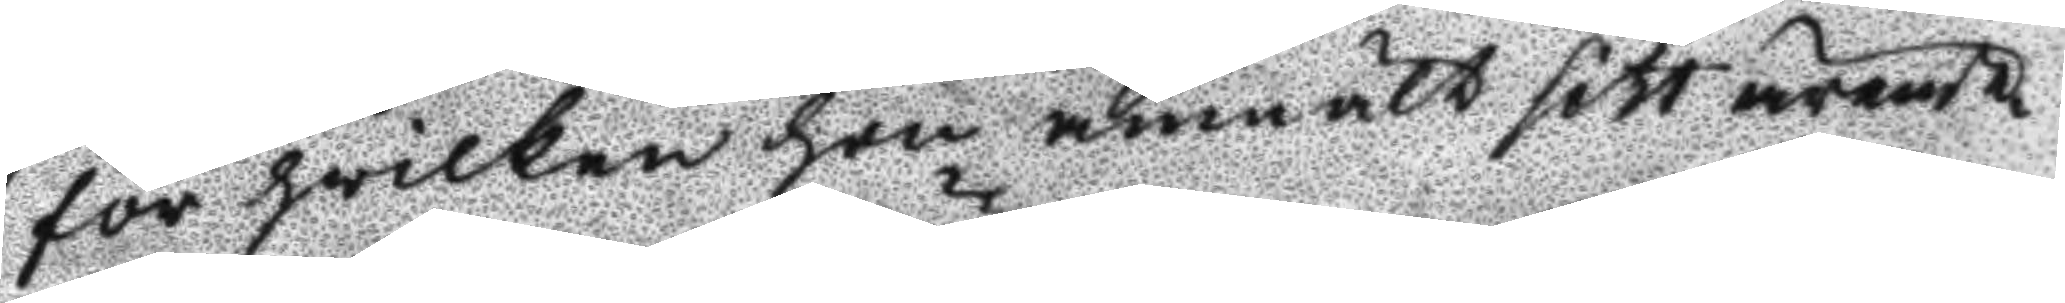för hwilken hon anmält sitt ärende
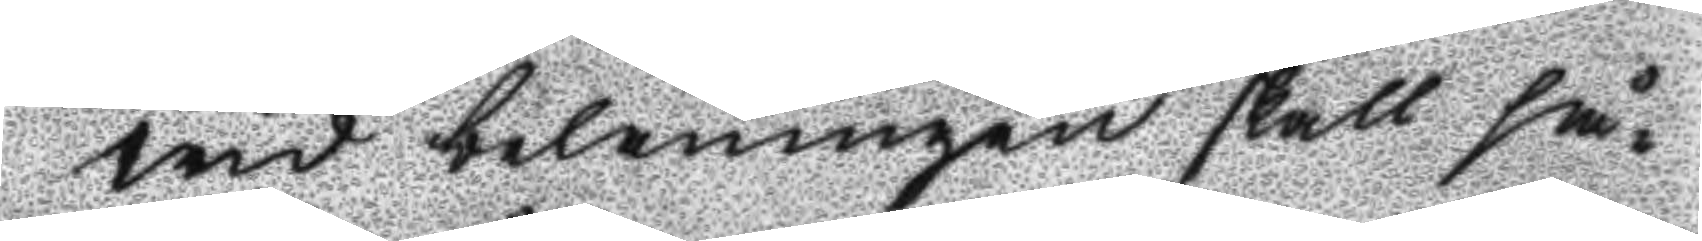wid belåningen skall så¬
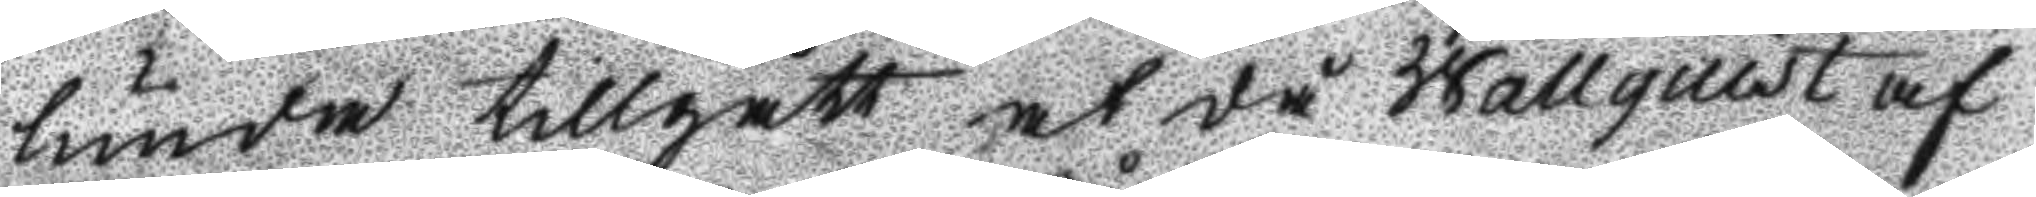lunda tillgått at då Wallquist af
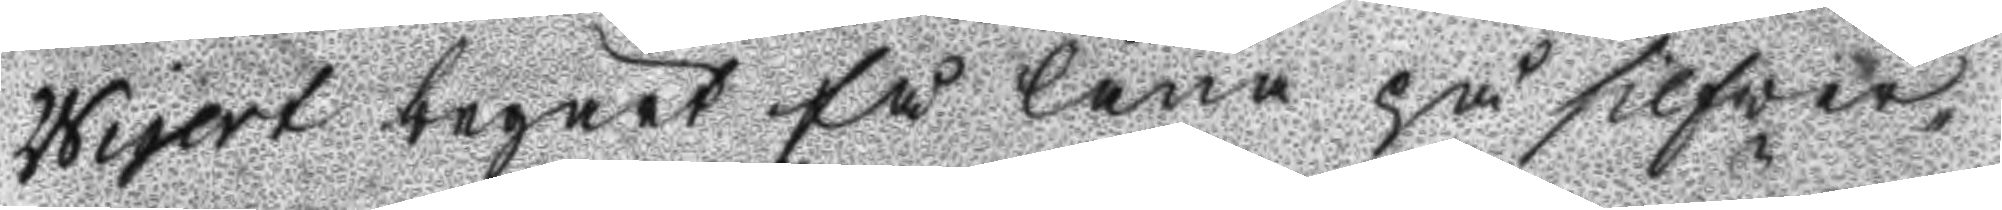Wigert begärt få låna på silver¬
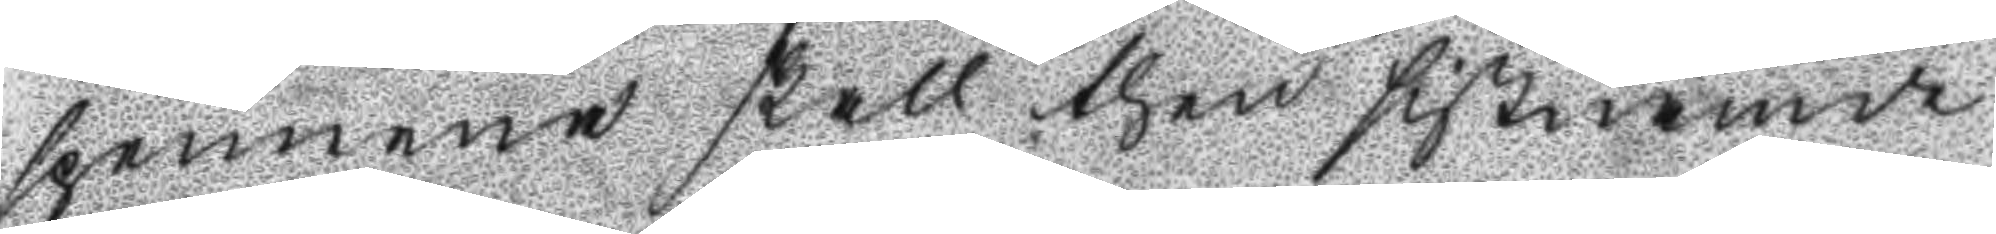spennena skall then sistnämde
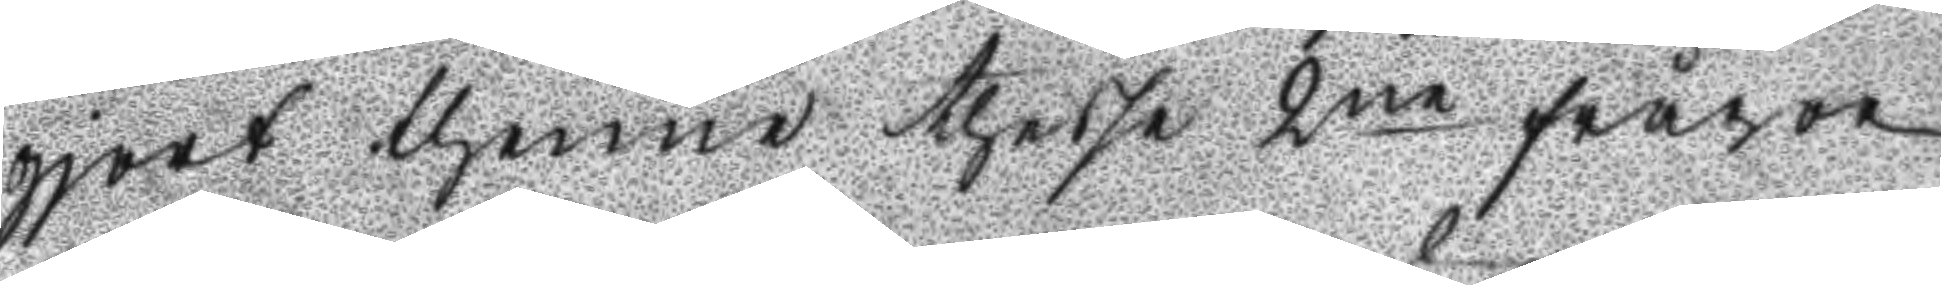gjort thenne thesse 2ne frågor
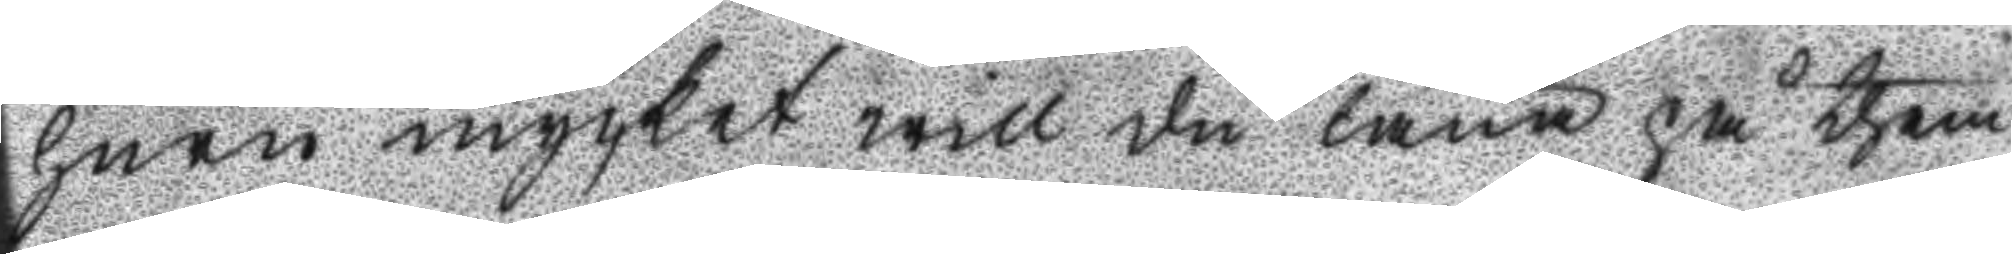huru mycket will du låna på them
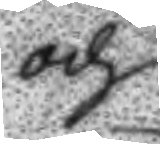och
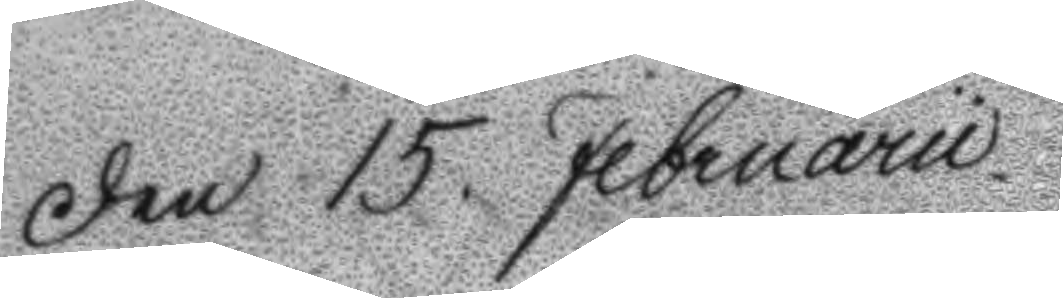Den 15. Februarii
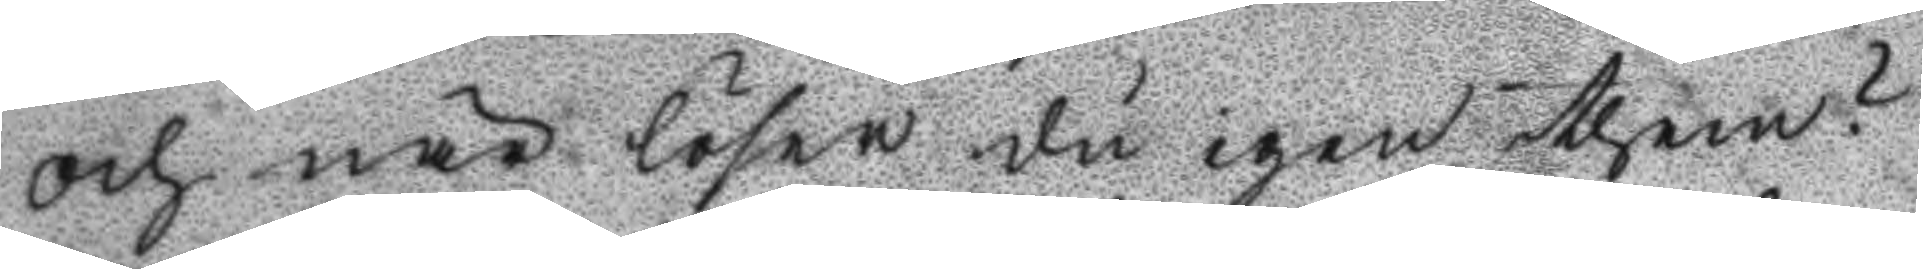och när löser du igen them?
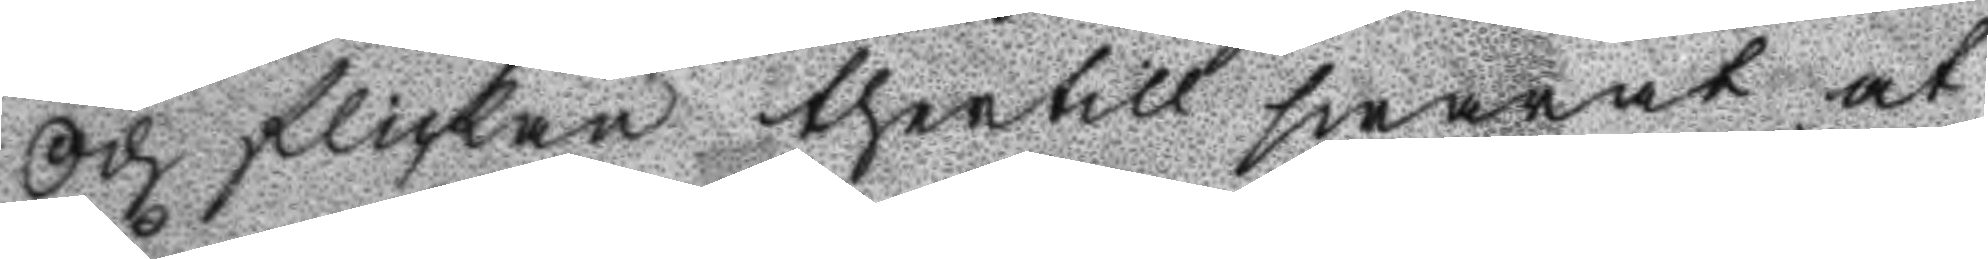Och flickan thertill swarat at
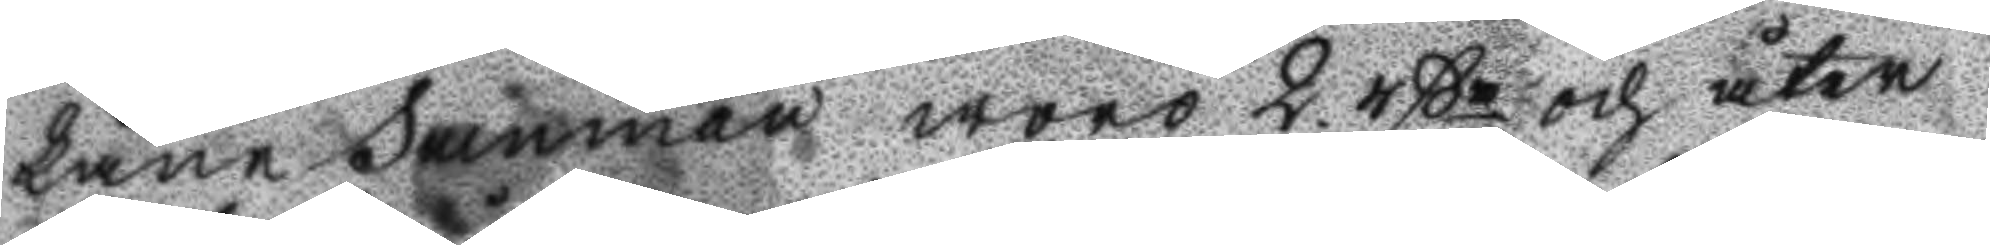Låne summan woro 2 rßr och åter
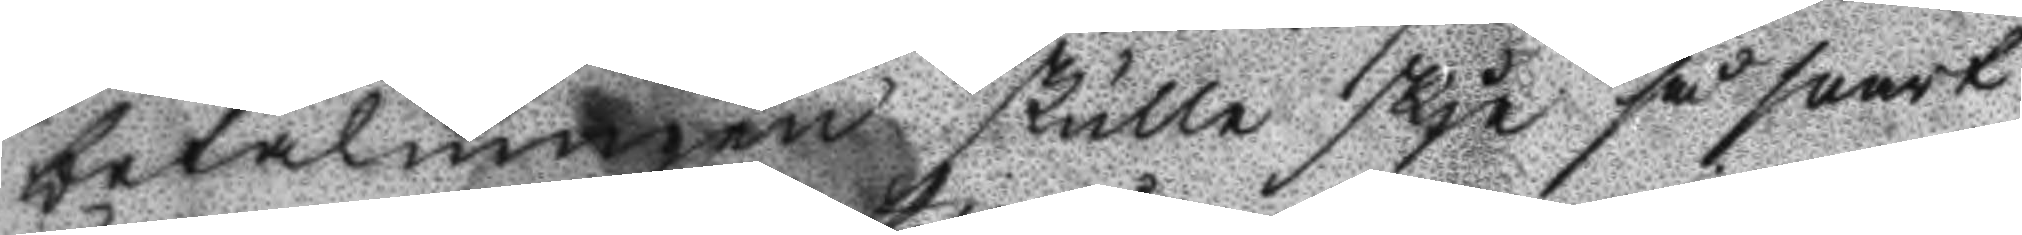betalningen skulle skje så snart
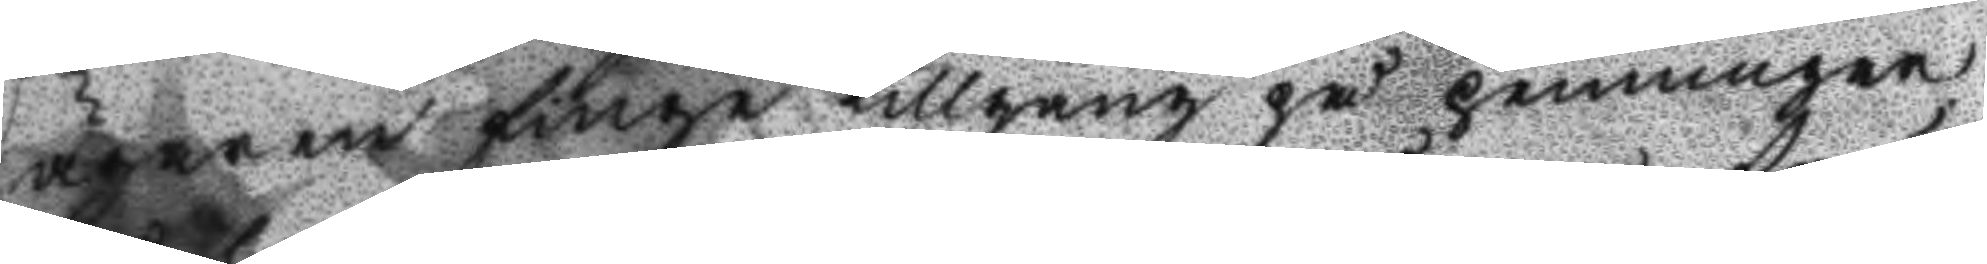ägaren finge tillgång på penningar
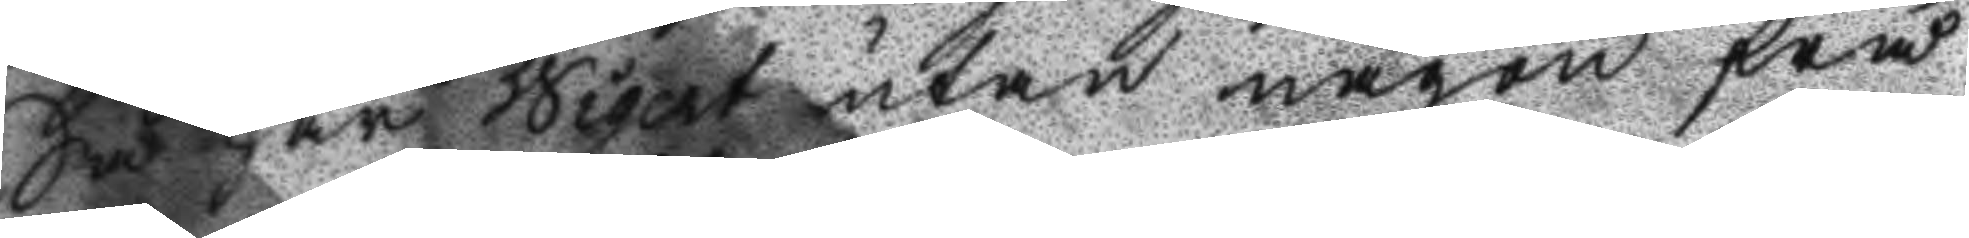Så har Wigert utan någon frå
